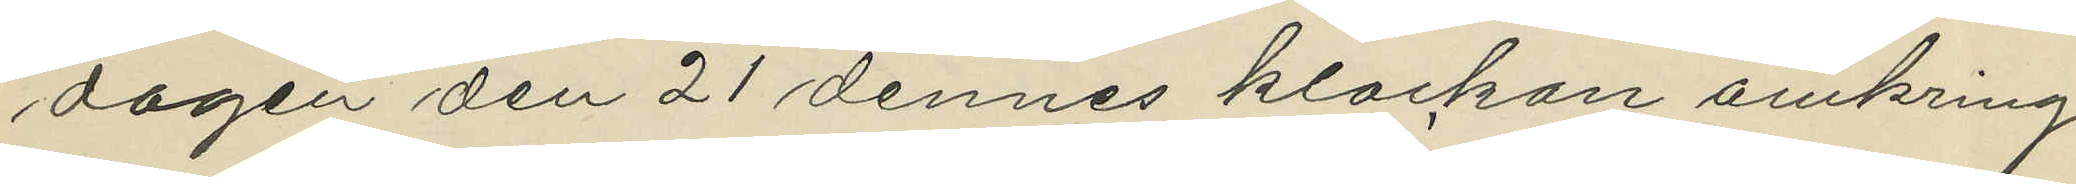dagen den 21 dennes klockan omkring
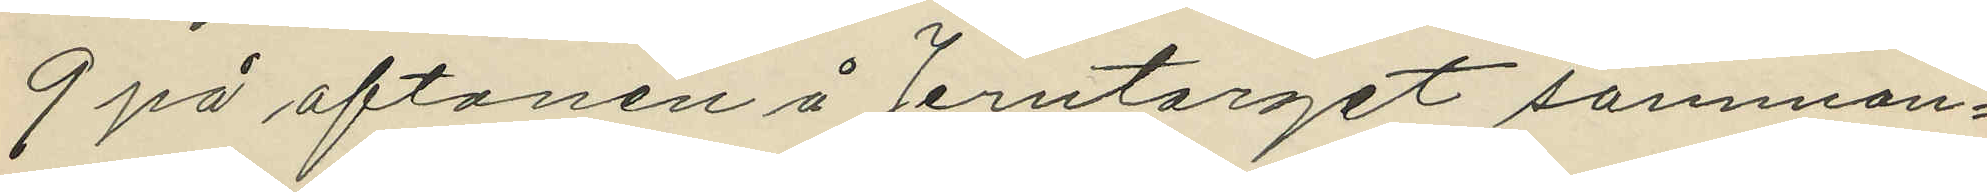9 på aftonen å Jerntorget samman¬
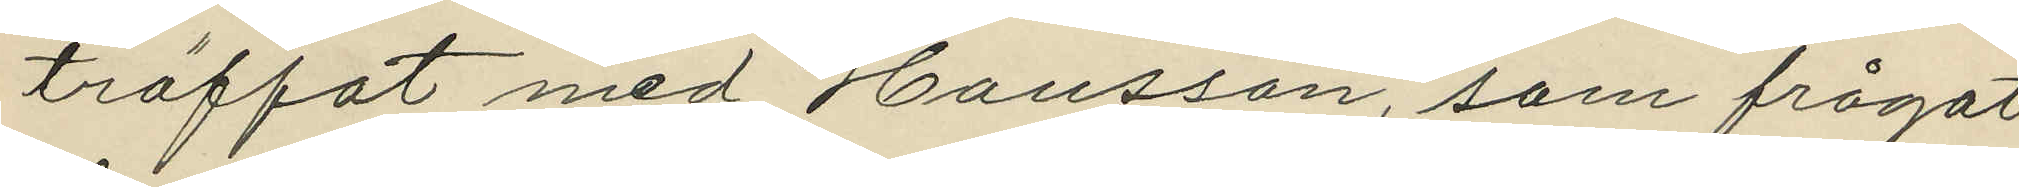träffat med Hansson, som frågat
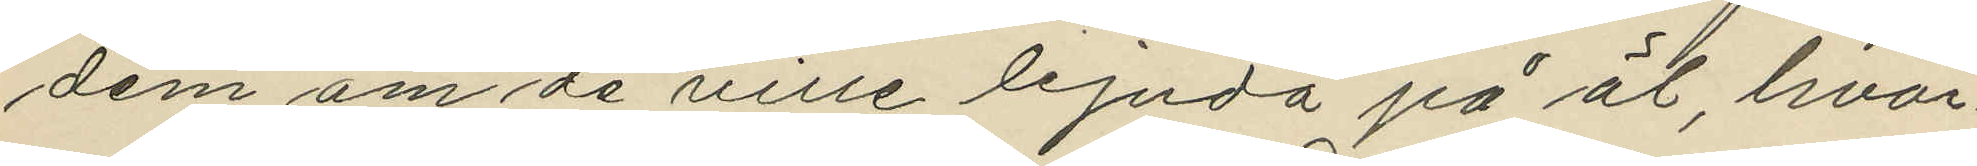dem om de ville bjuda på öl, hvar¬
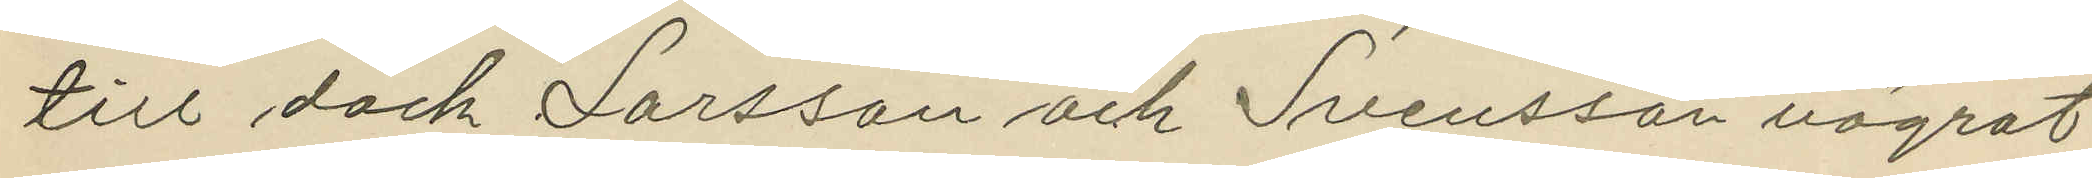till dock Larsson och Svensson vägrat
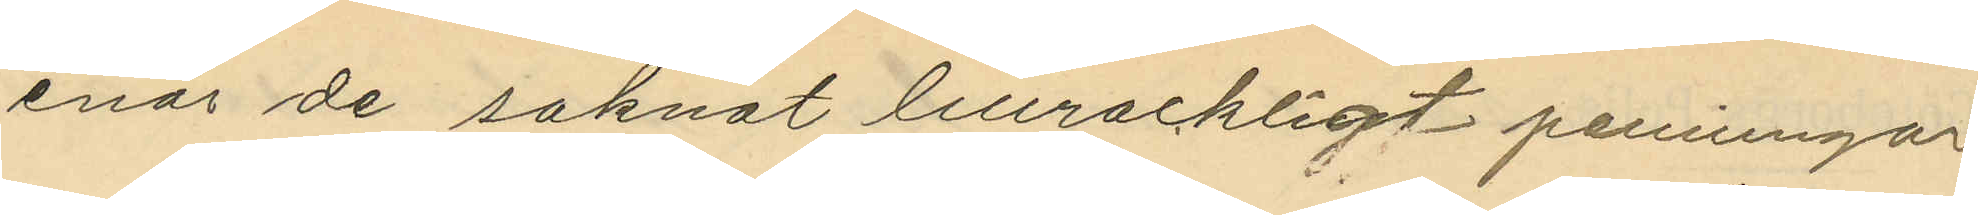enär de saknat lillrackligt penningar;
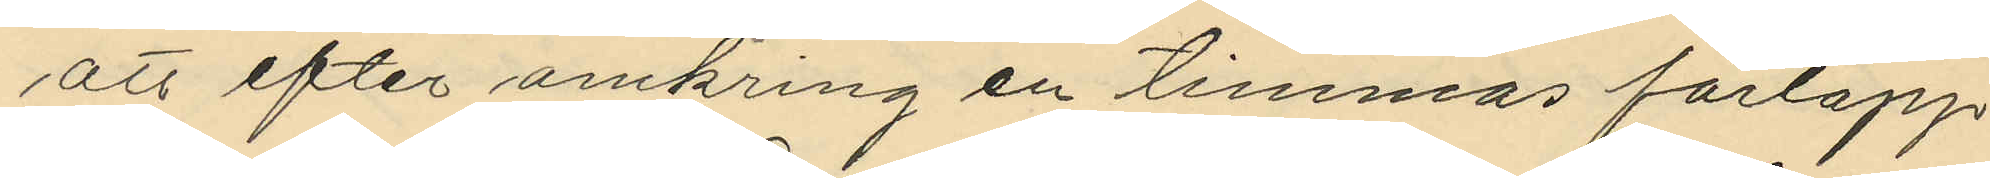att efter omkring en timmas förlopp
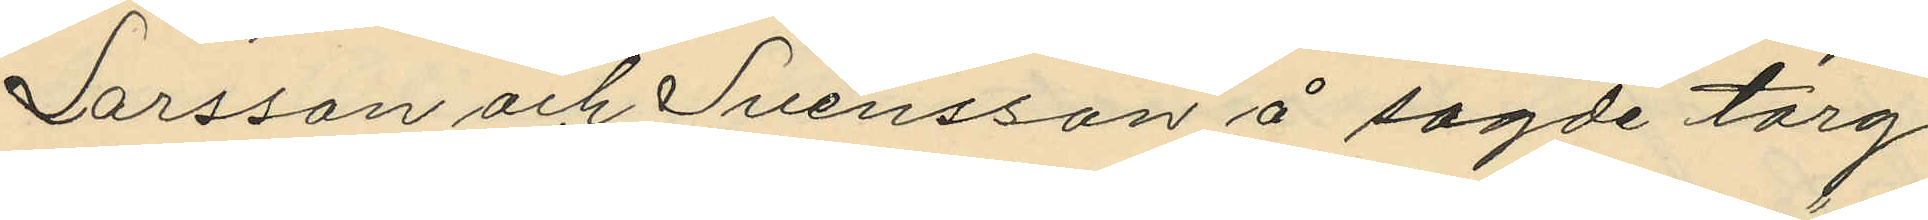Larsson och Svensson å sagde torg
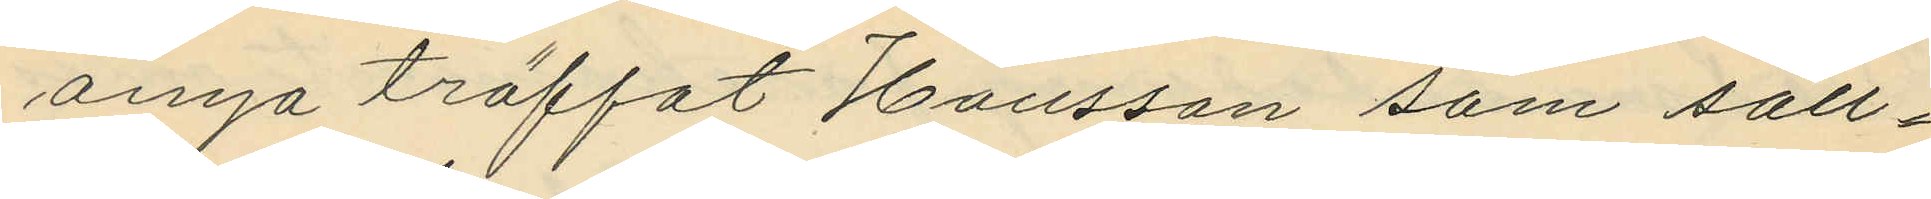ånyo träffat Hansson som säll¬
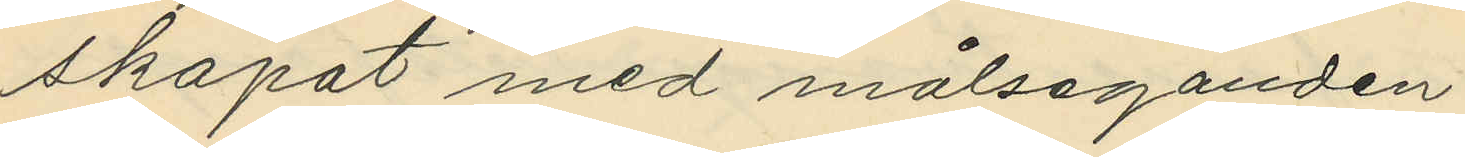skapat med målseganden;
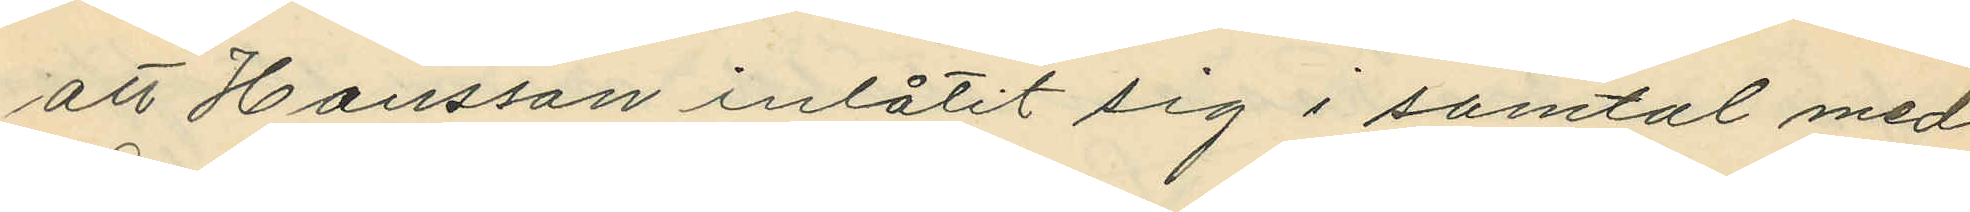att Hansson inlåtit sig i samtal med
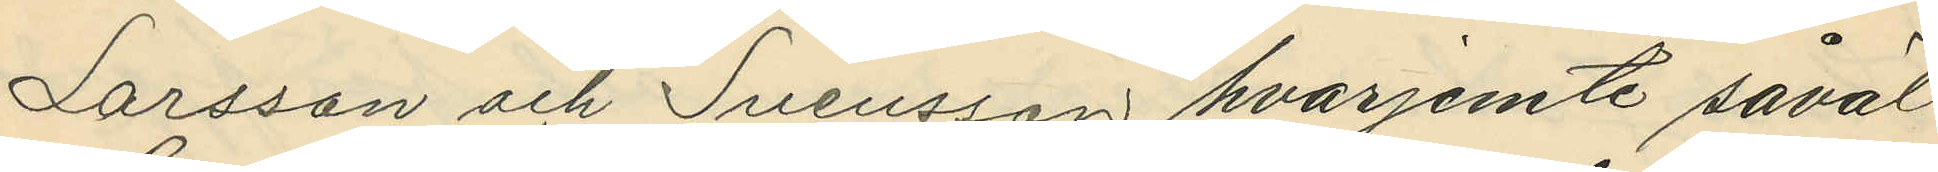Larsson och Svensson hvarjemte såväl
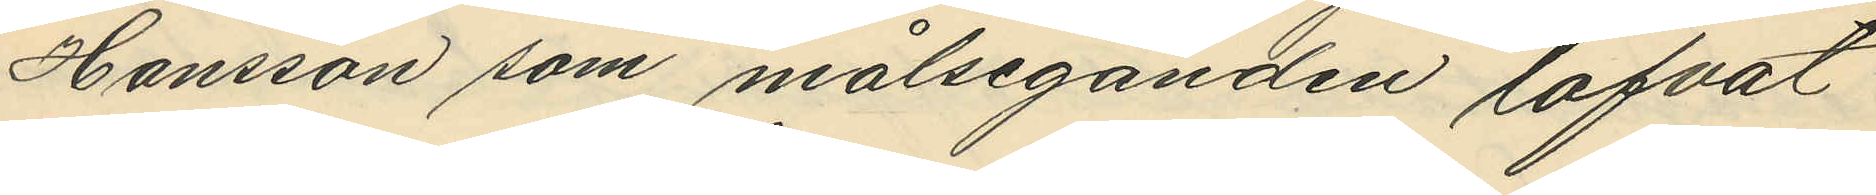Hansson som målseganden lofvat
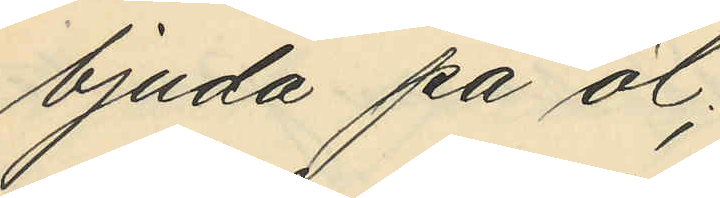bjuda på öl;
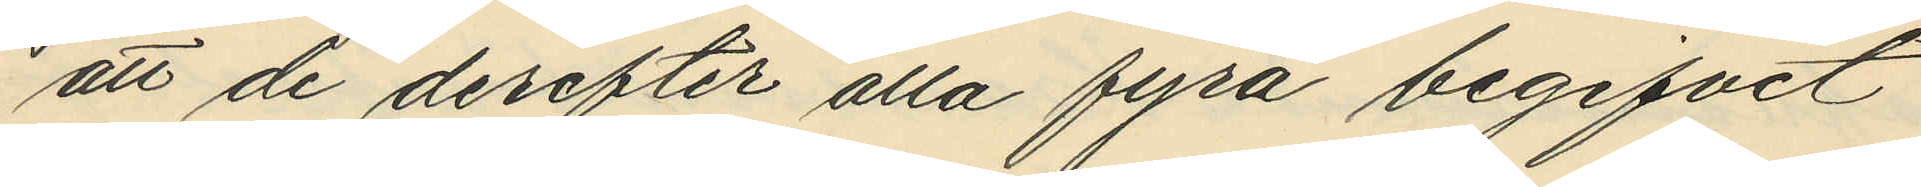att de derefter alla fyra begifvit
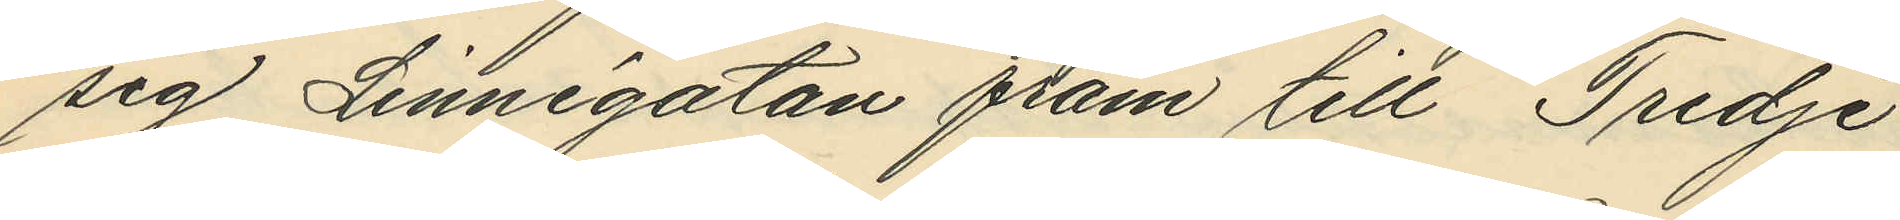sig Linnégatan fram till Tredje
